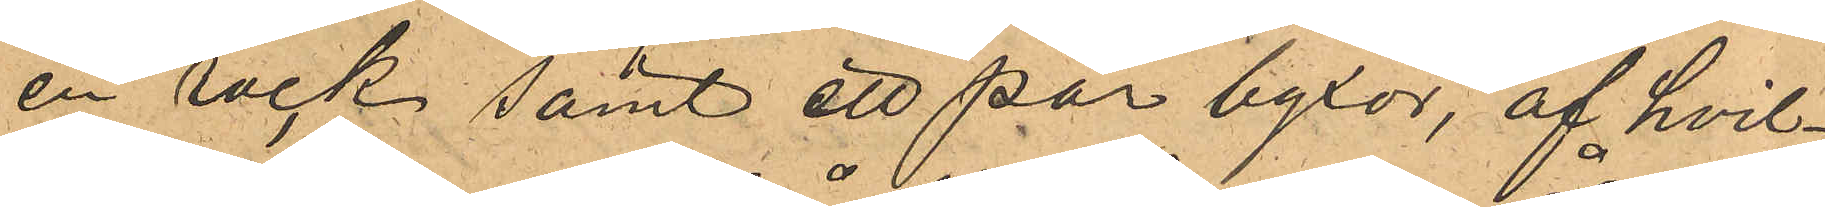en rock samt ett par byxor, af hvil¬
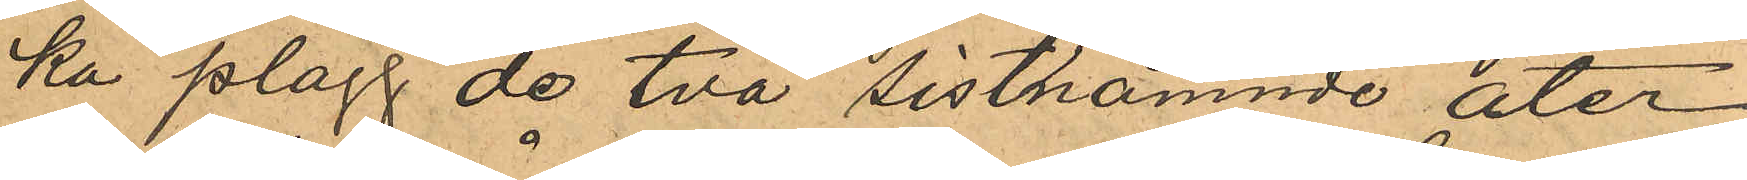ka plagg de två sistnämnde åter¬
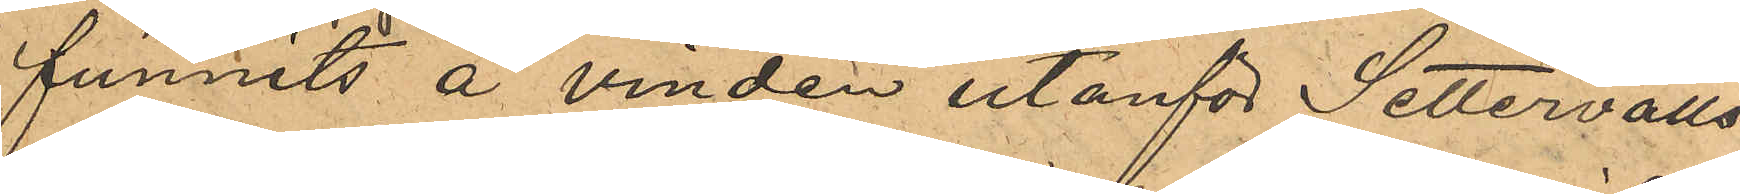funnits å vinden utanför Settervalls
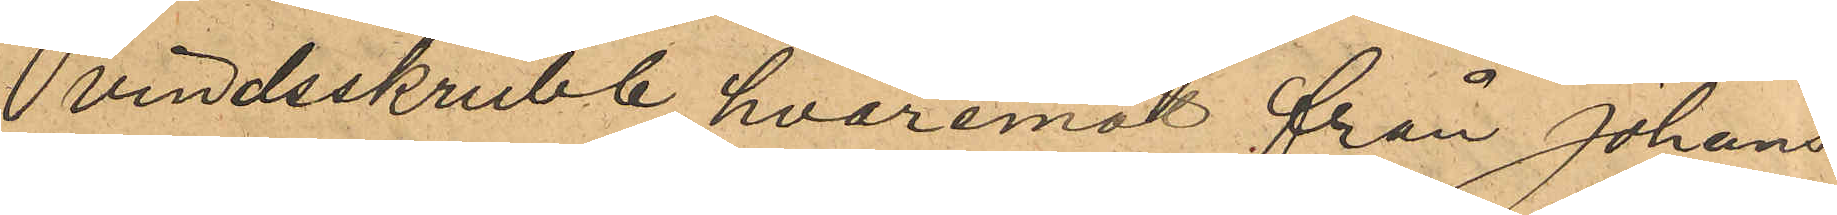vindsskrubb, hvaremot från Johans¬
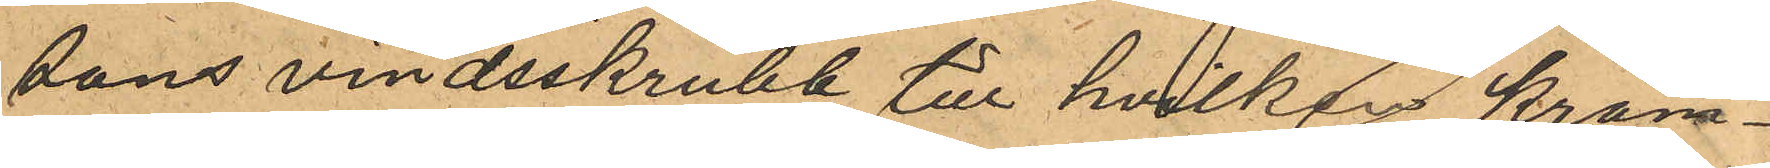sons vindsskrubb till hvilkan Kram¬
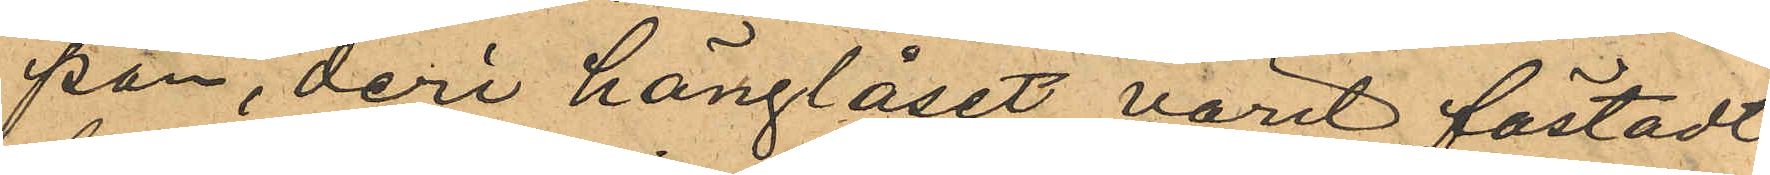pan, deri hänglåset varit fästadt
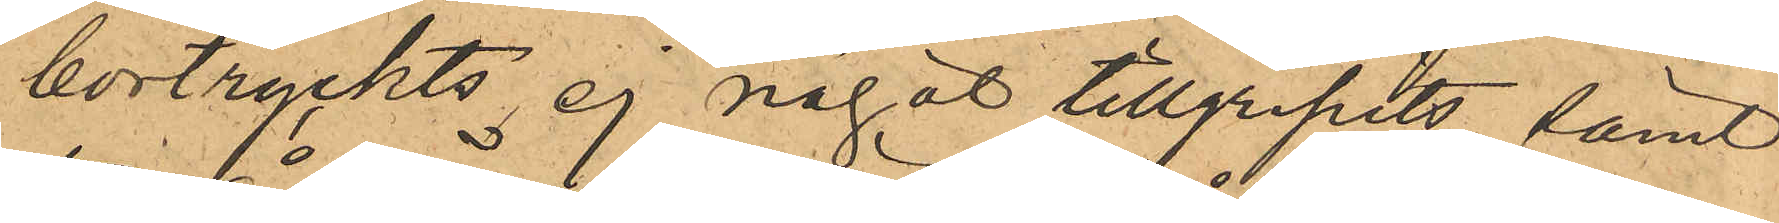bortryckts ej något tillgripits samt
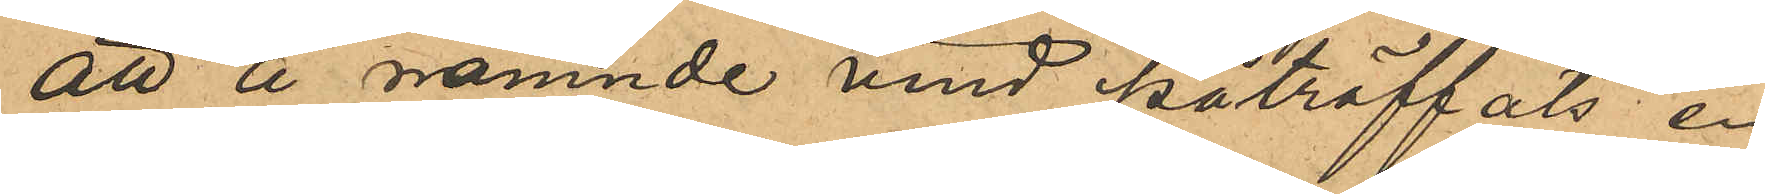att å nämnde vind påträffats en
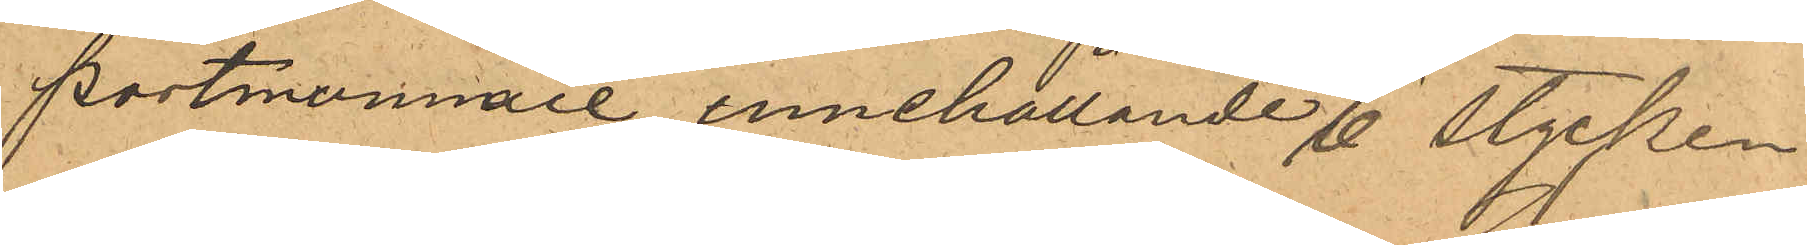portmonnaie, innehållande 6 stycken
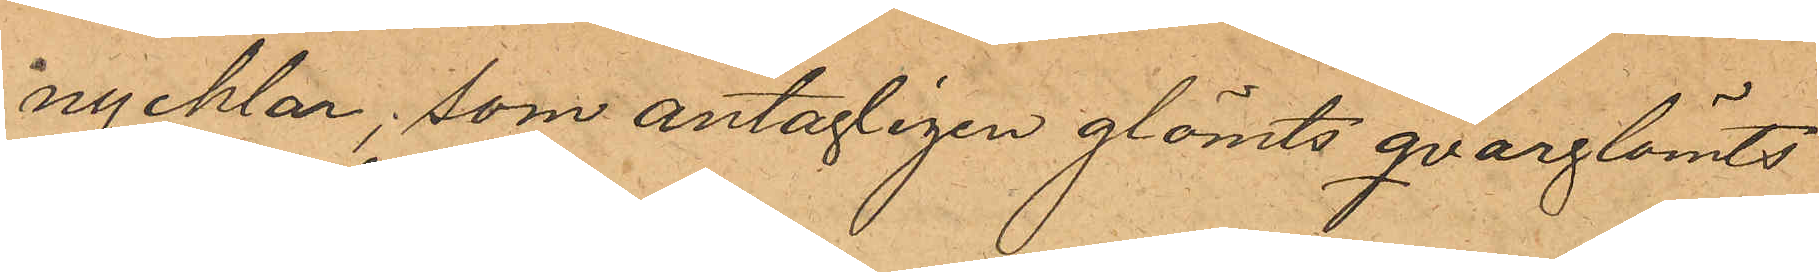nycklar, som antagligen glömts qvarglömts
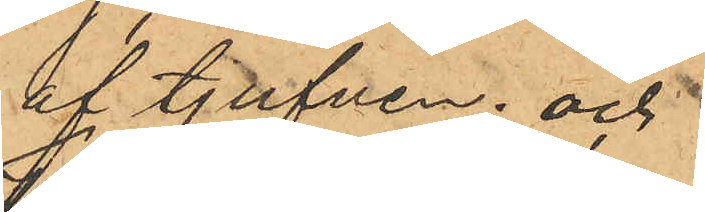af tjufven; och
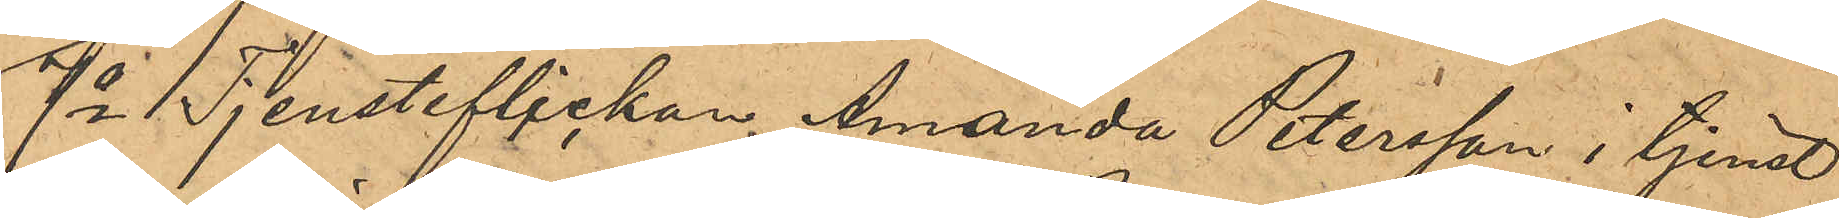7o Tjensteflickan, Amanda Petersson i tjenst
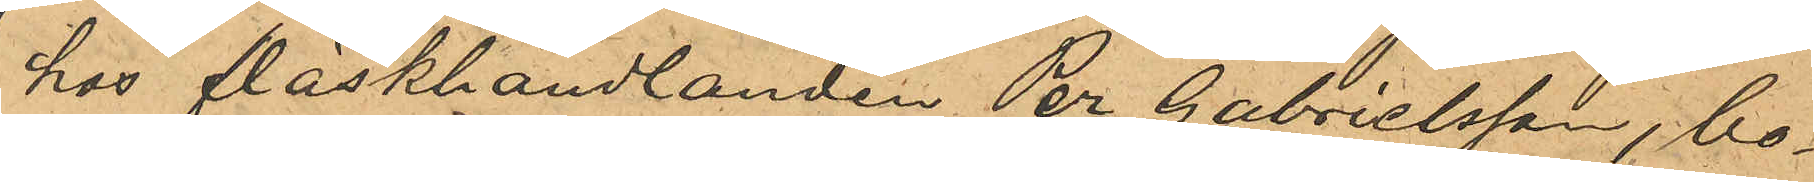hos fläskhandlanden Per Gabrielsson, bo¬
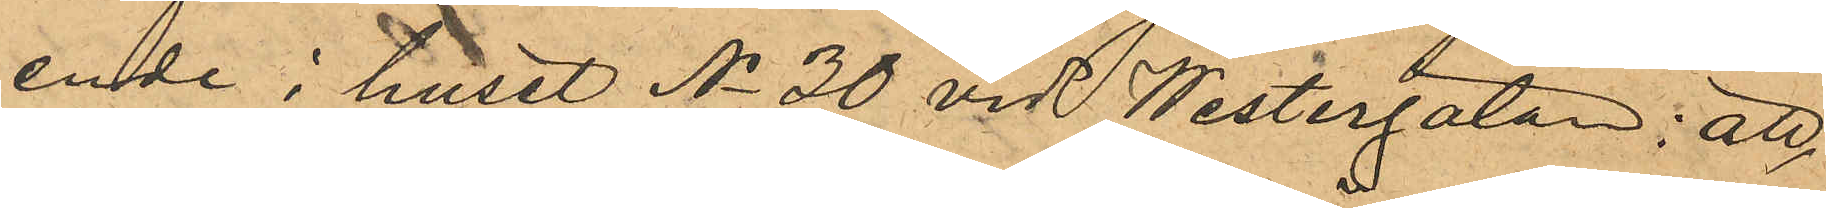ende i huset No 30 vid Westergatan: att
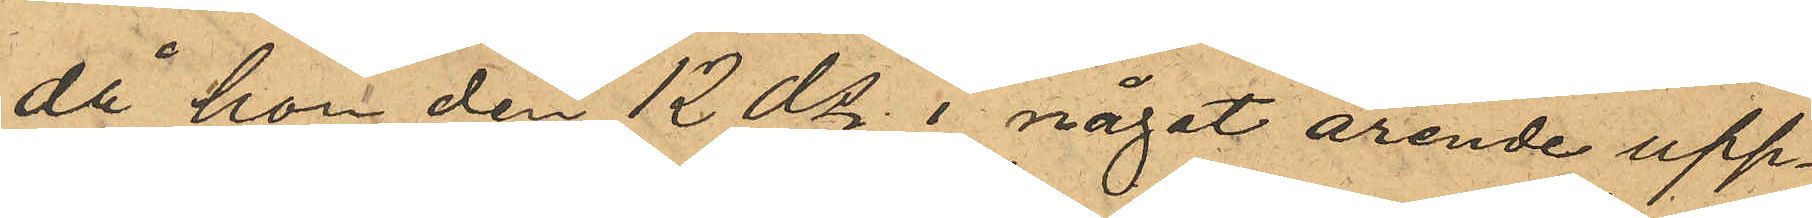då hon den 12 ds i något ärende upp¬
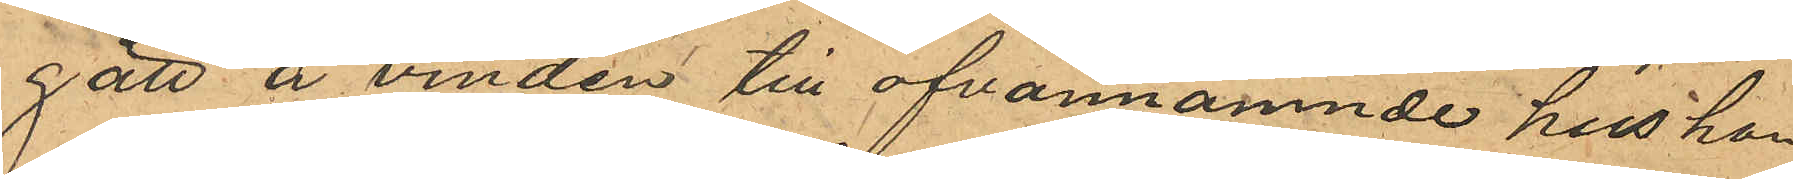gått å vinden till ofvannämnde hus hon
